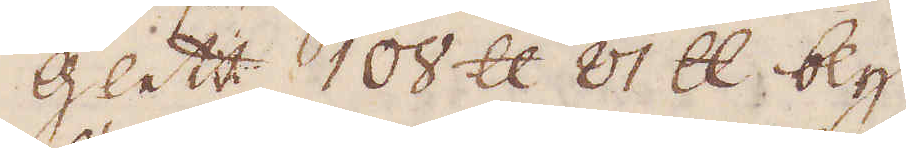Glett 108 skålpund 81 skålpund bly
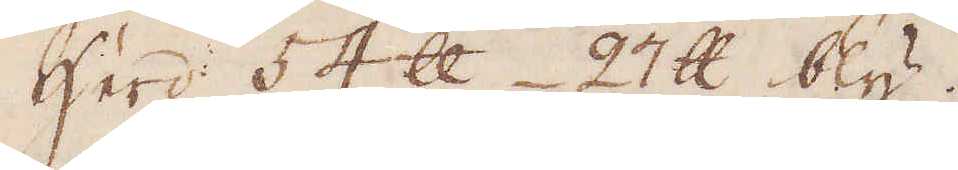Herd: 54 skålpund 27 skålpund bly.
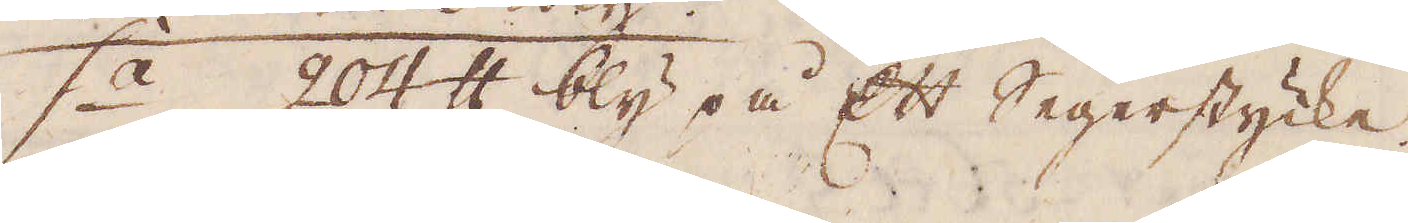s:a 24 skålpund bly på Ett Segerstycke.
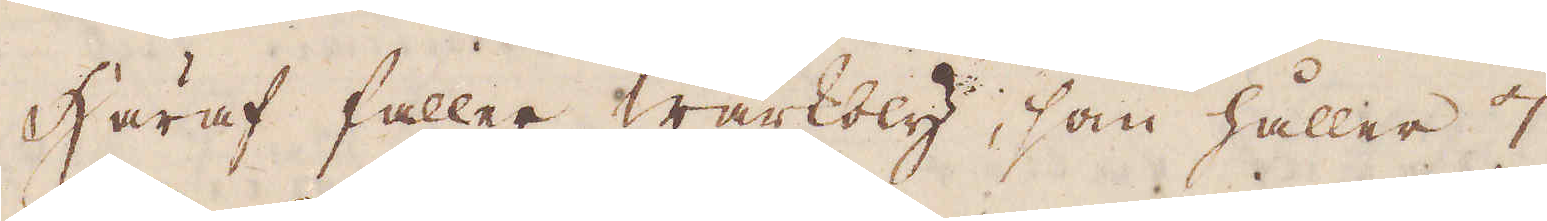Häraf faller wärkbly, som håller 7
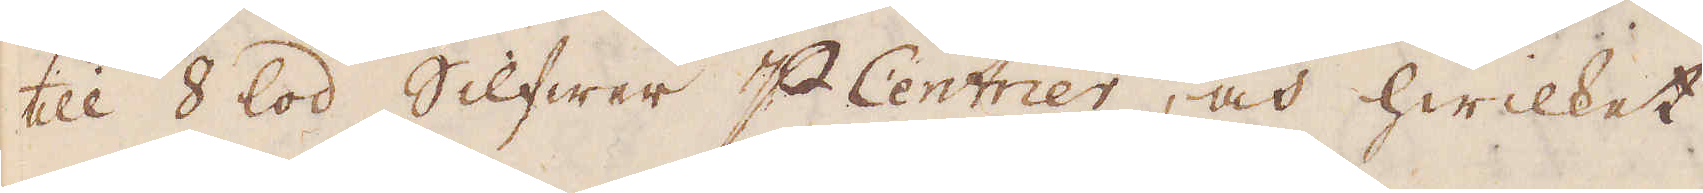till 8 lod Silfwer p Centner, och hwilket
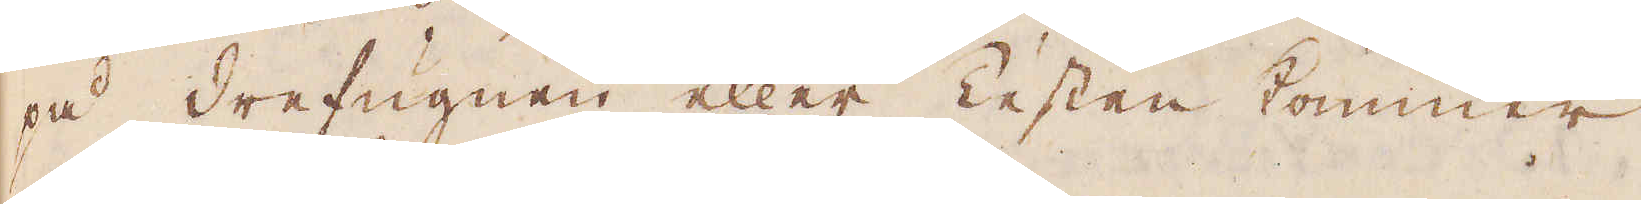på drefugnen eller Testen kommer
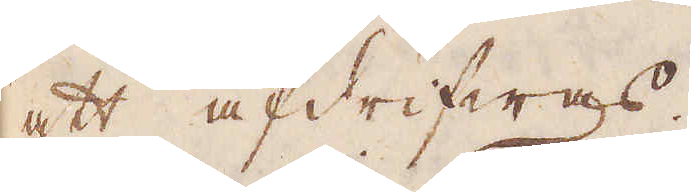ett afdrifwas.
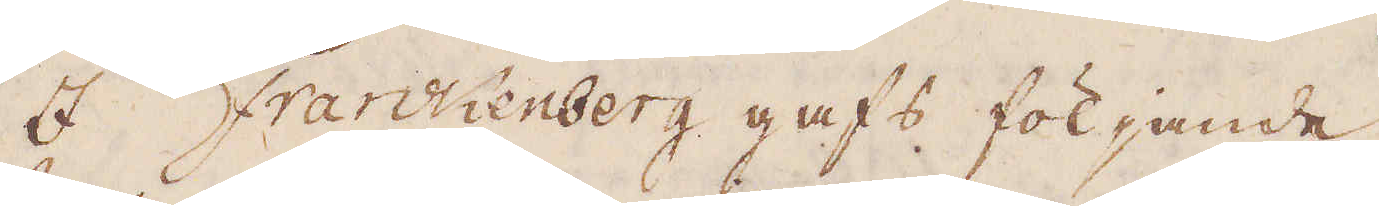I Frankenberg gafs följande
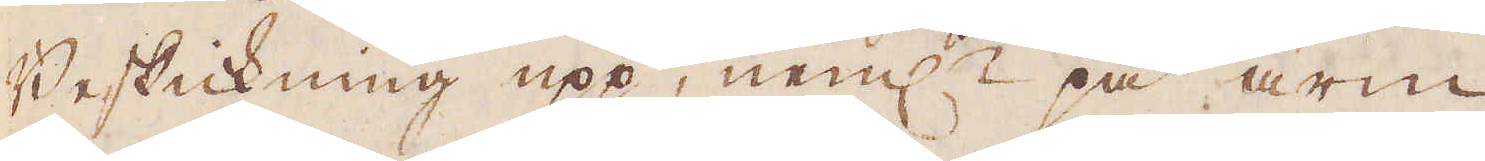Beskikning upp, neml: på arm
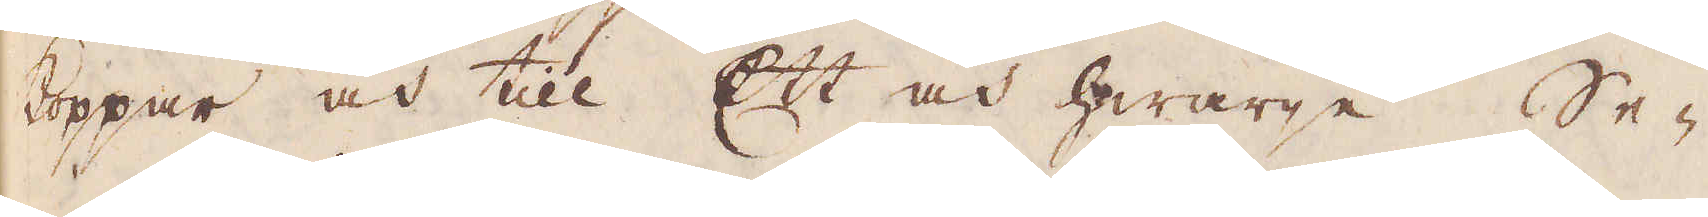koppar och till Ett och hwarje Se-
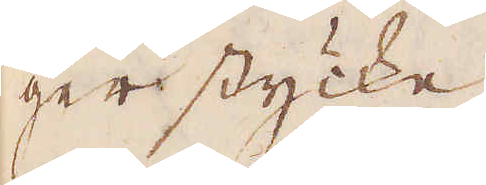ger stycke.
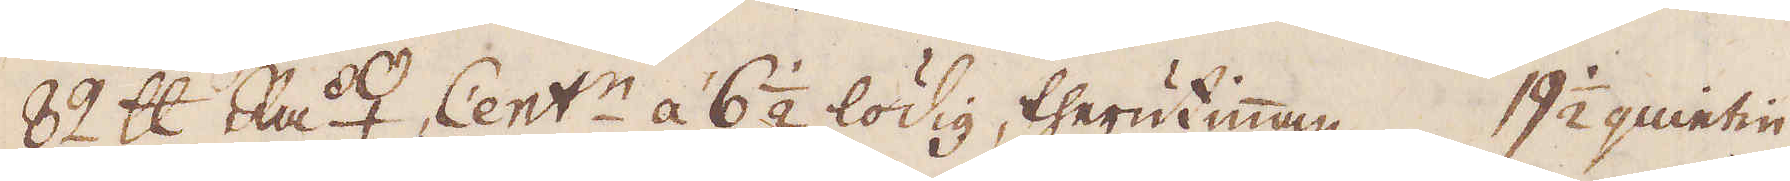82 skålpund Rå ♀ Cent:r á 6 1/2 lödig, therutinnan 19 1/2 quintin
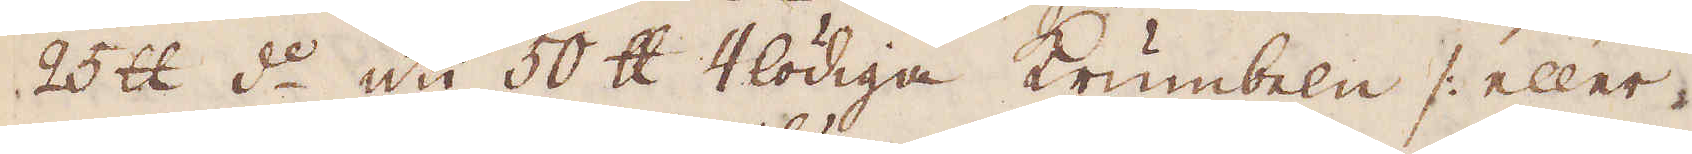25 skålpund d:o uti 50 skålpund 4lödiga Krumbeln /: eller
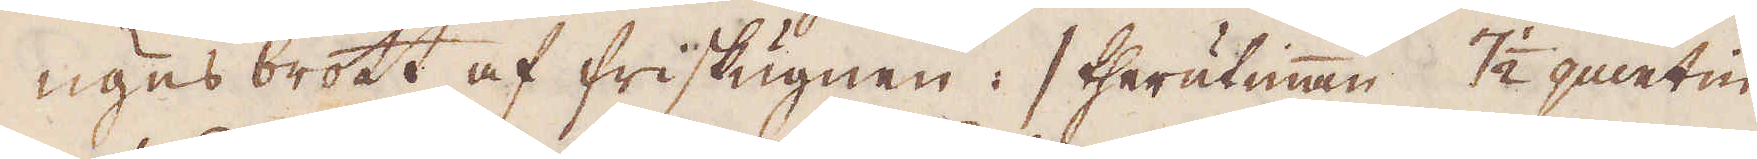ugns brott af friskugnen :/ therutinnan 7 1/2 quintin
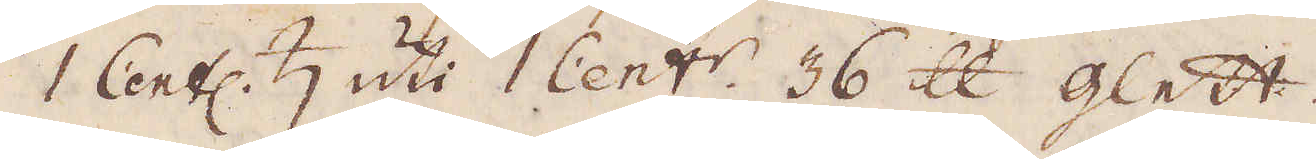1 Cent: ♄ uti 1 Cent:r. 36 skålpund glett.
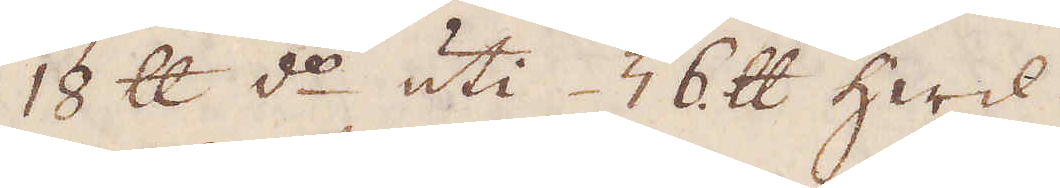18 skålpund d:o uti 36 skålpund hwil
